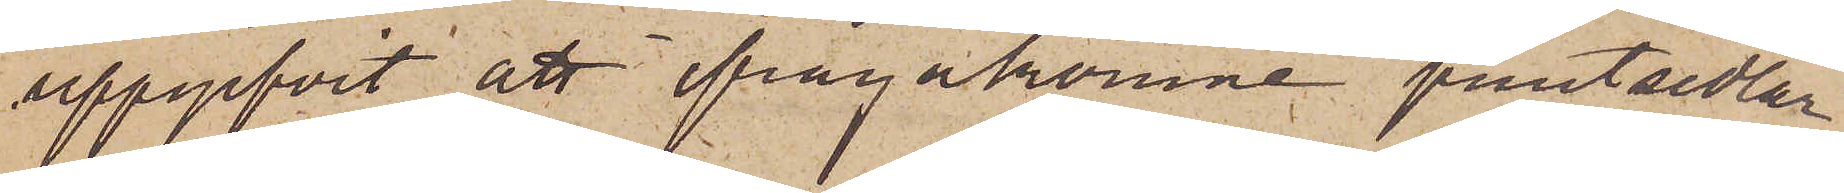uppgifvit att ifrågakomne pantsedlar
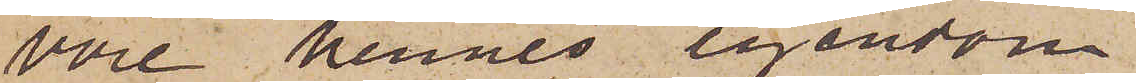vore hennes egendom.
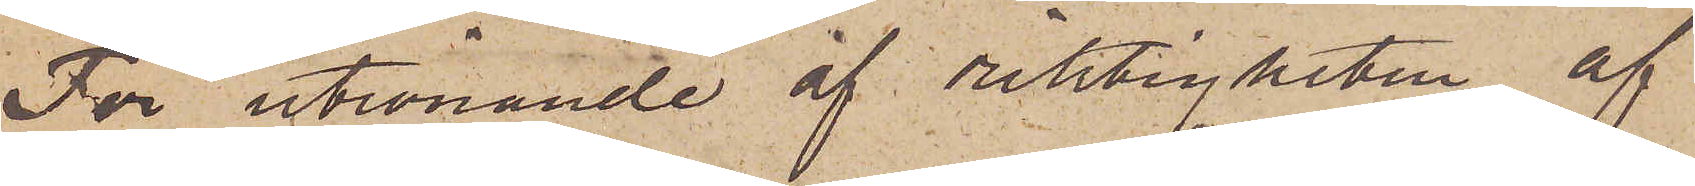För utrönande af riktigheten af
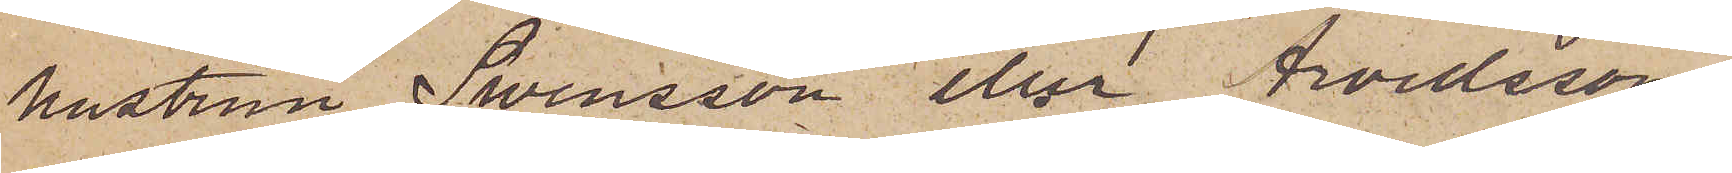hustrun Swensson eller Arvidssons
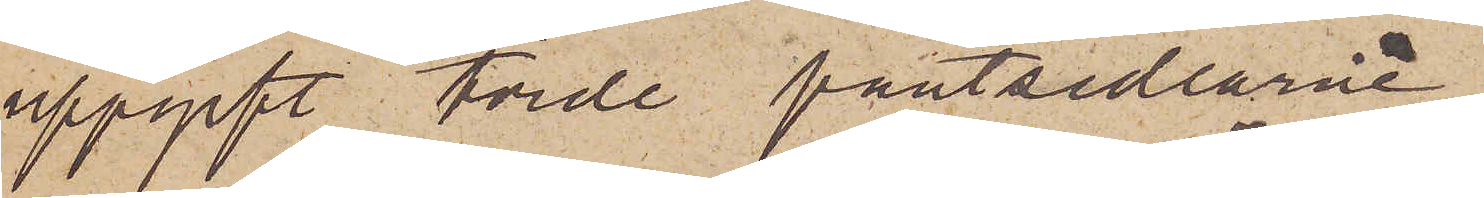uppgift torde pantsedlarne
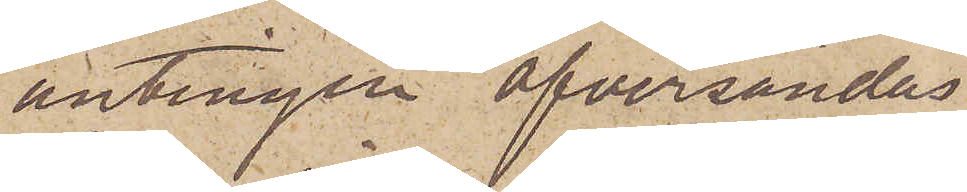antingen öfversändas
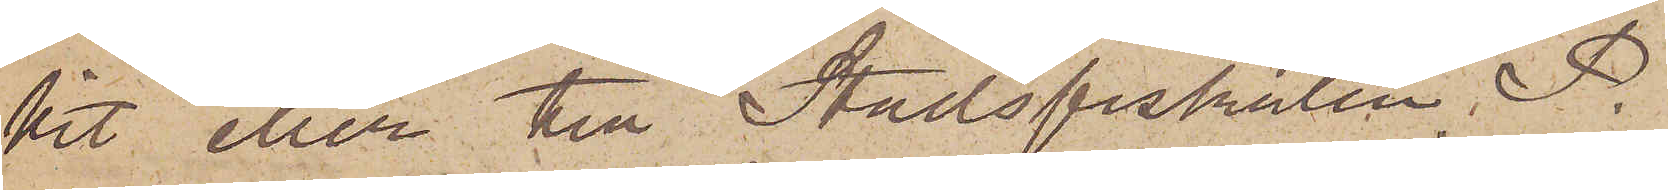hit eller till Stadsfiskalen P.
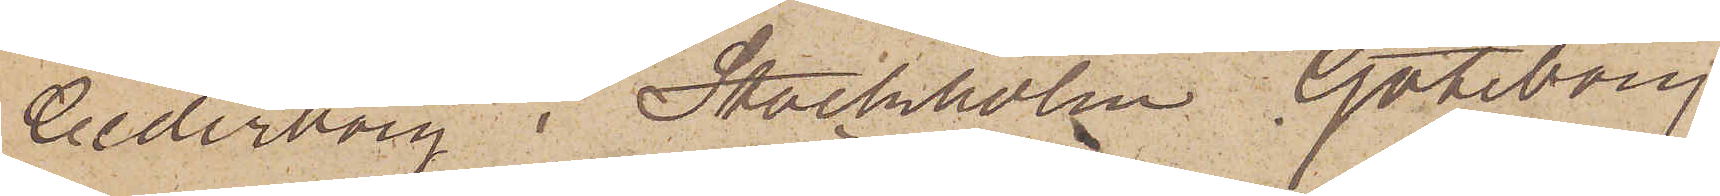Cederborg i Stockholm. Göteborg
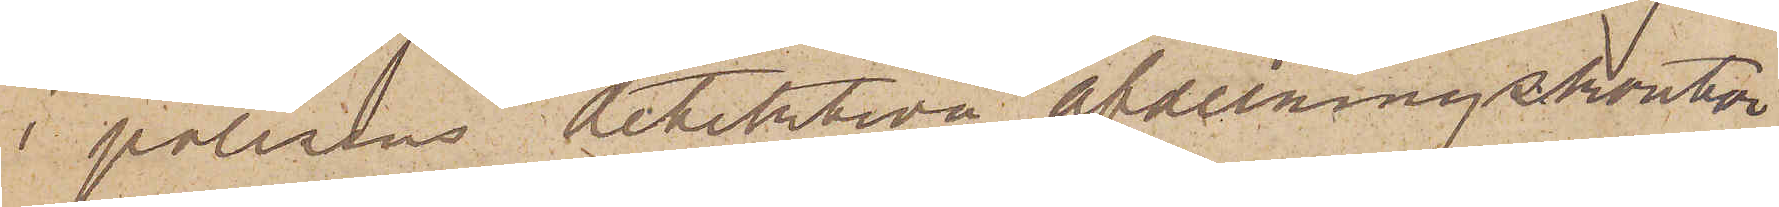i polisens detektiva afdelningskontor
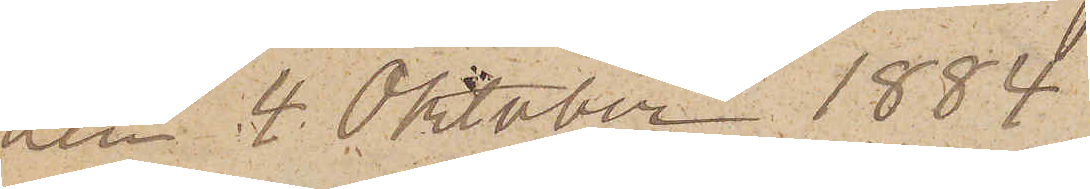den 4 Oktober 1884
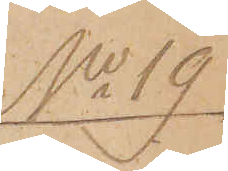No 19.
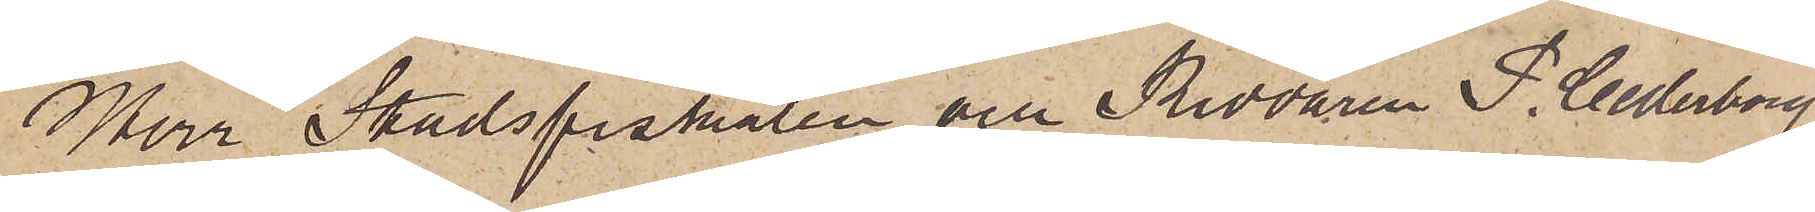Herr Stadsfiskalen och Riddaren P. Cederborg
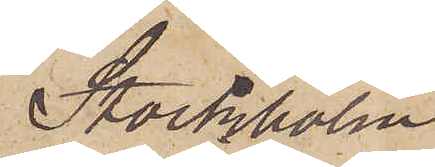Stockholm
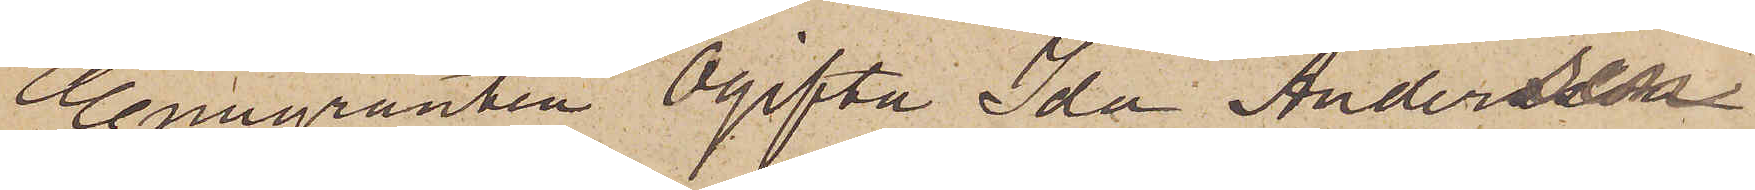Emigranten Ogifta Ida Andersen
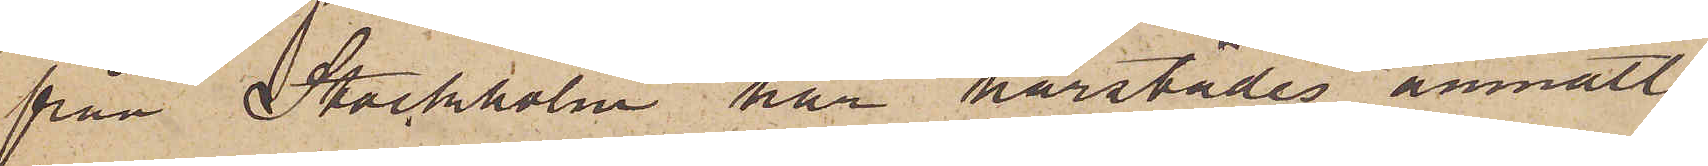från Stockholm har härstädes anmält,
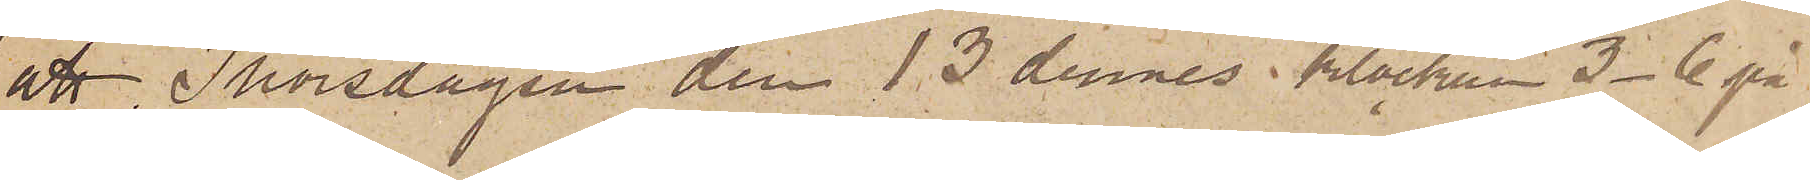att Thorsdagen den 13 dennes klockan 3-6 på
